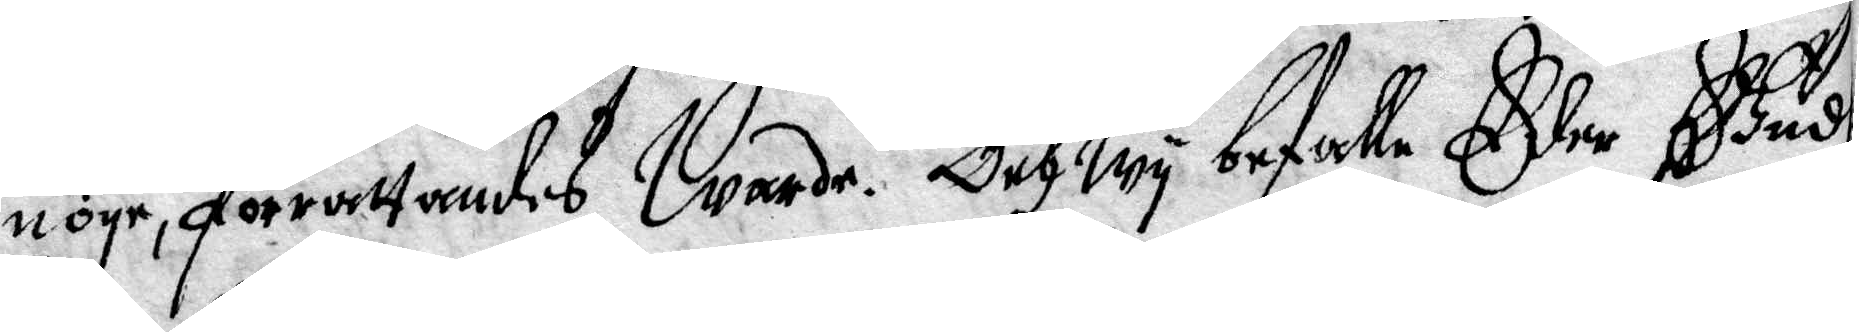nöye, förrättandes Warde. Och Wy befalle eder Gudh
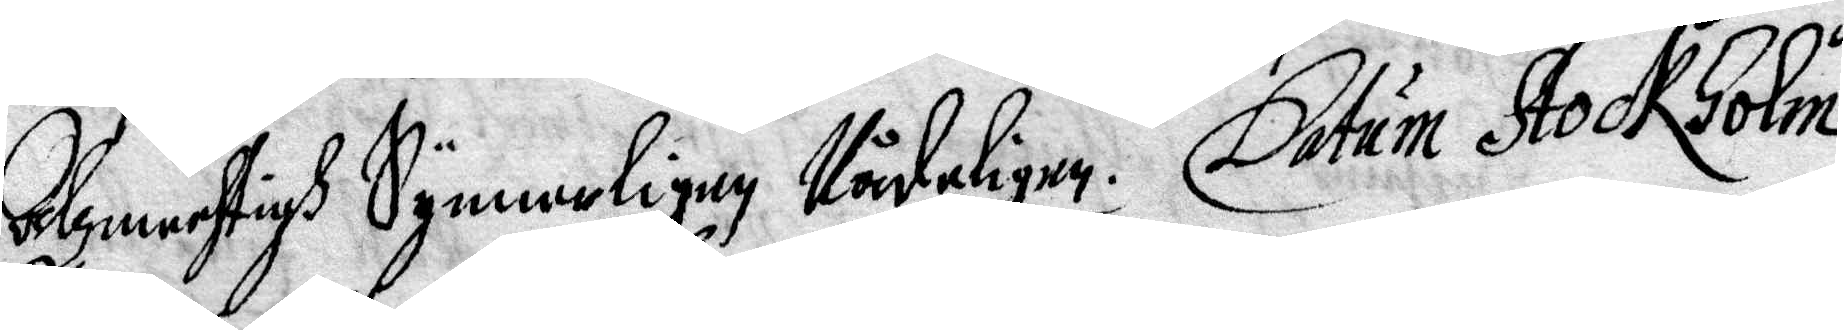Alzmechtigh Synnerligen Nådeligen. Datum Stockholm
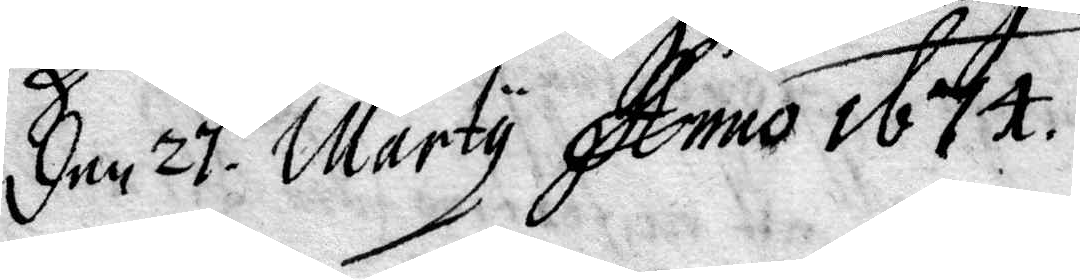den 27 Marty Anno 1674.
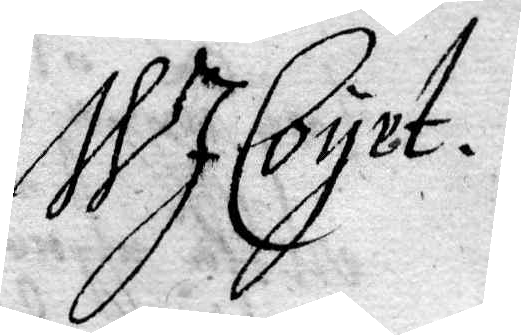W J Coyet.
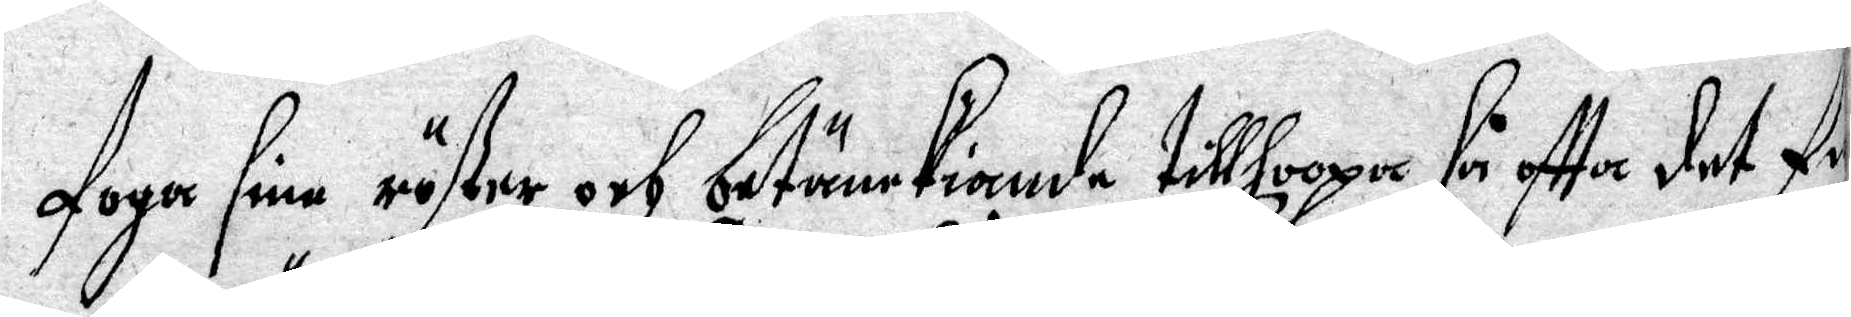foga sin röster och betänckiande tillhoopa så oftta det fi¬
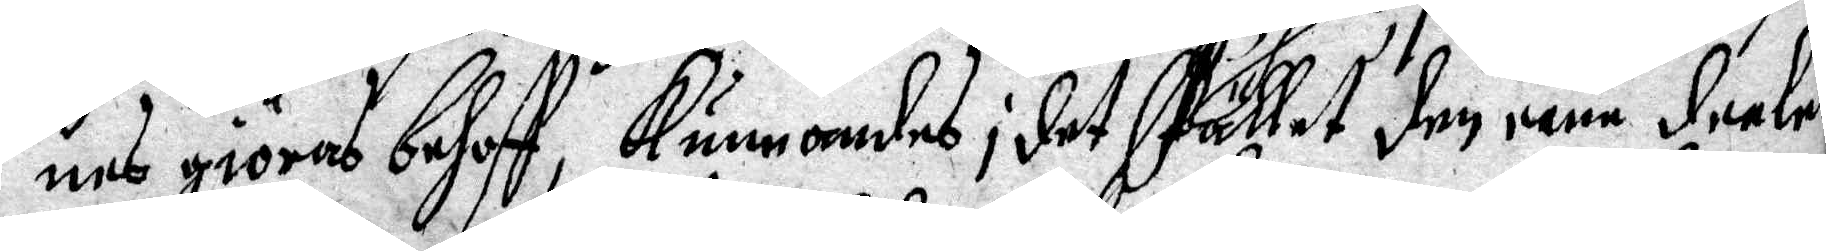nes giöras behoff, kunnandes i det stället den eena deelet
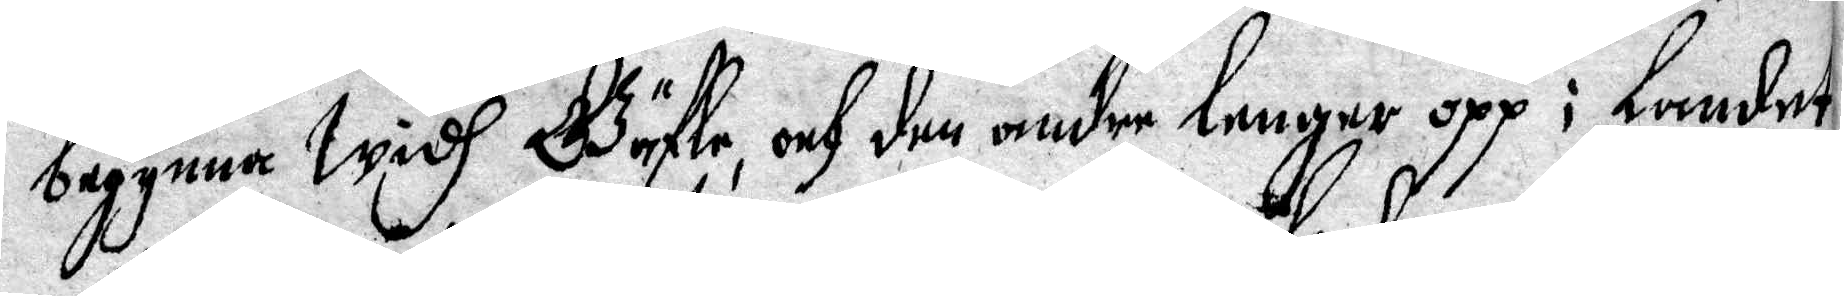begynna widh Gäfle och den andre lenger opp i landet,
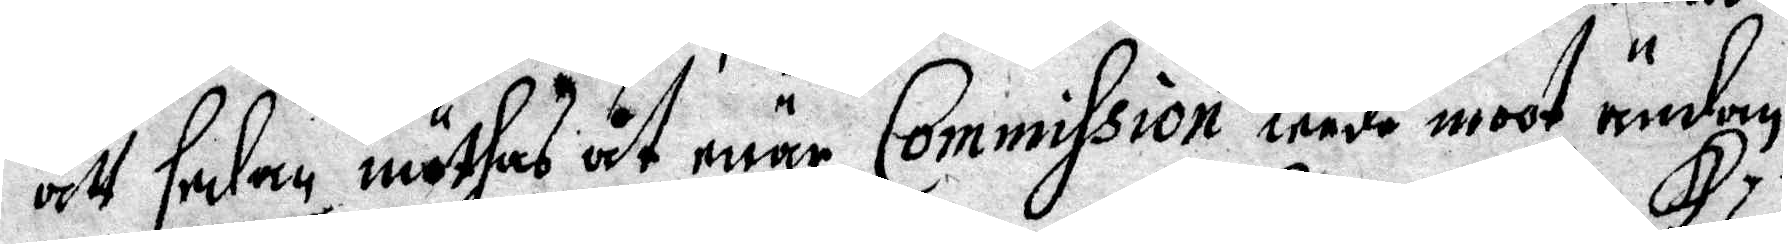att sedan möthas åt enär Commission leede mot ändan,
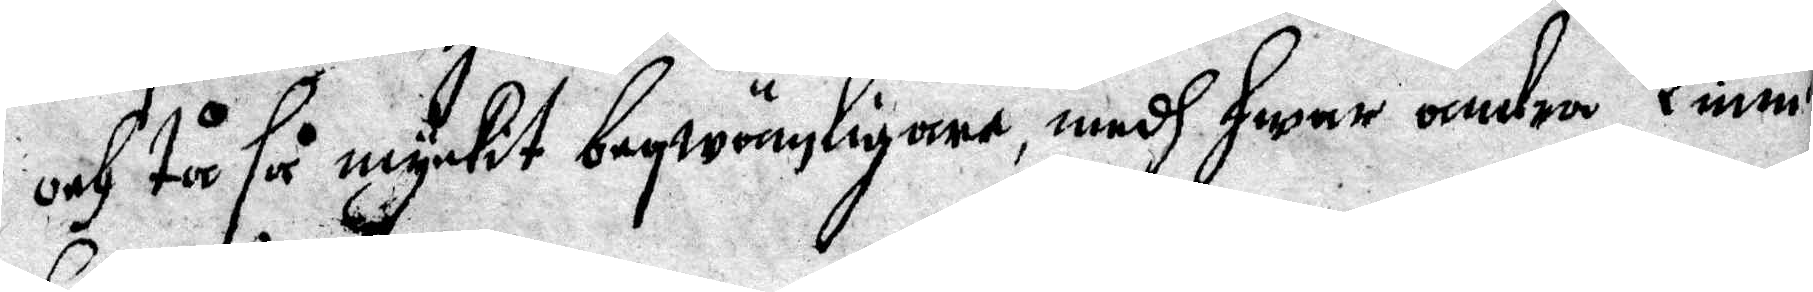och tå så mycket beqwänligare, medh hwar andra kunn
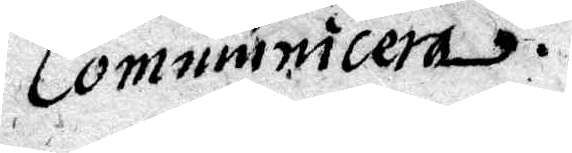Communicera.
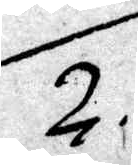2.
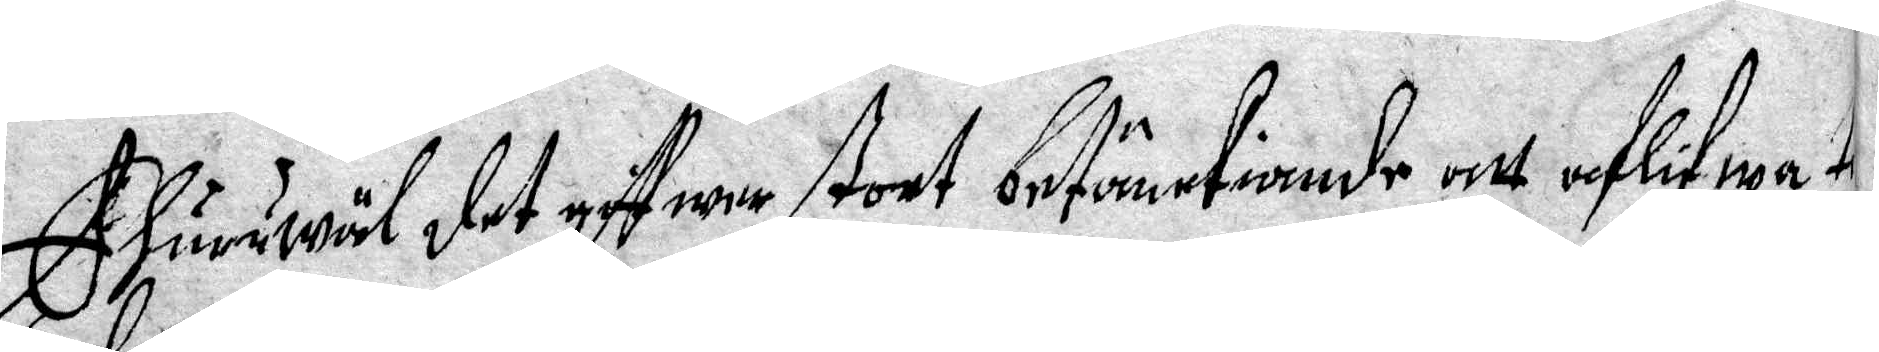Ehuruwäl det giffwer stort betänktiande att aflifwat ti
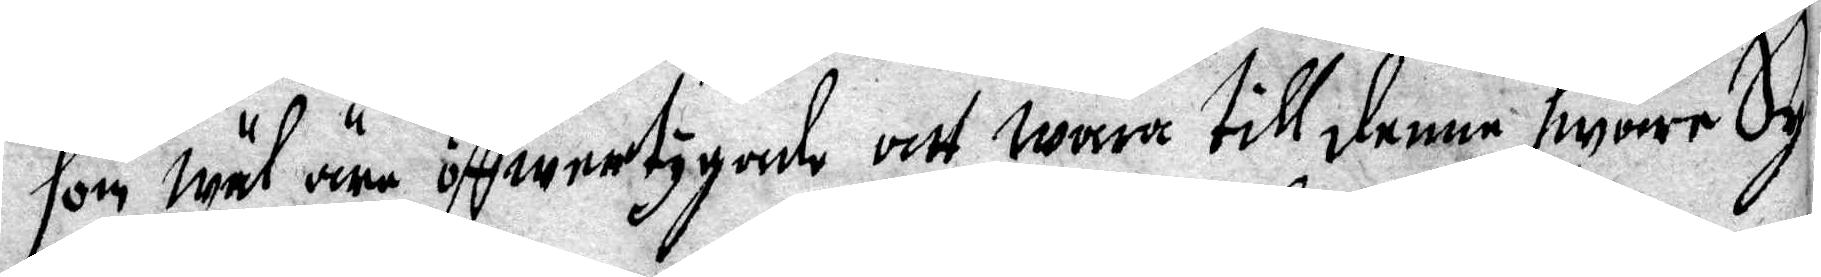son wäl äre öffwertygade att wara till denne swåre Sy¬
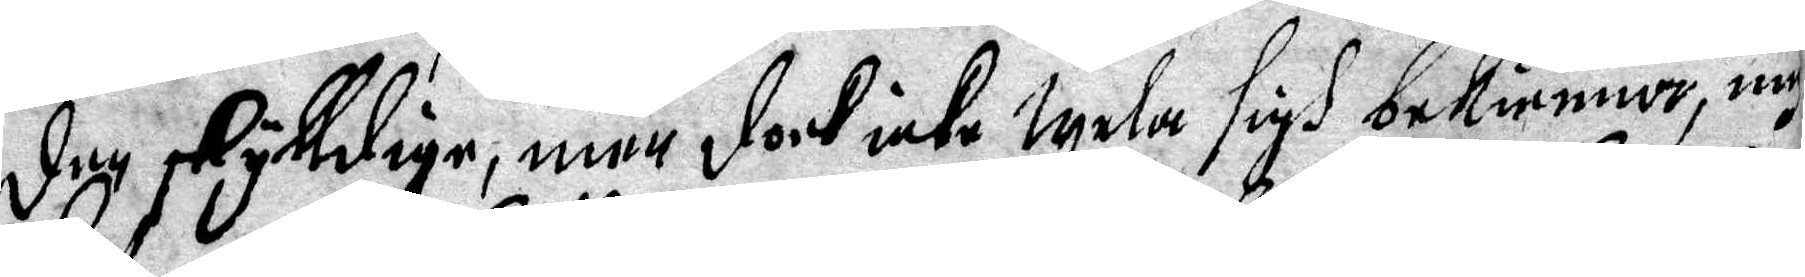den skylldige, men doch icke wela sigh bekienna, my¬
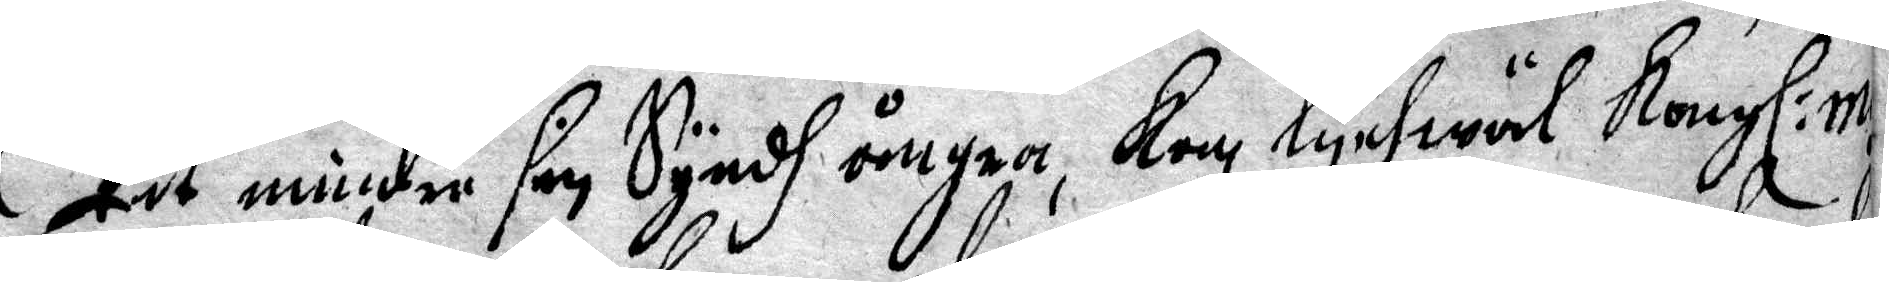kit mindre sin Syndh ångra, Kan lychwäl Kongl. m
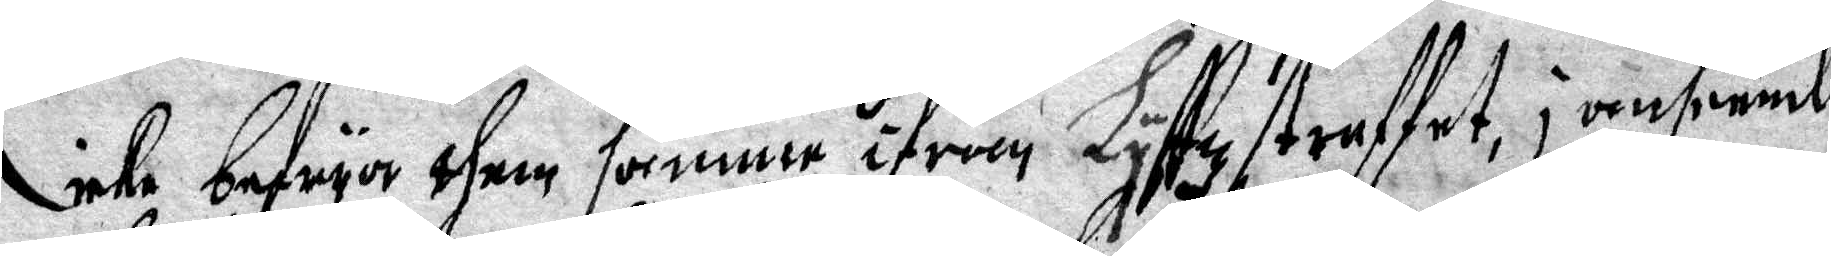icke befwya them samme ifrån Lyffzstraffet, i anseende
